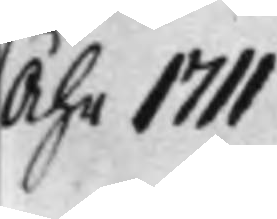Åhr 1711.
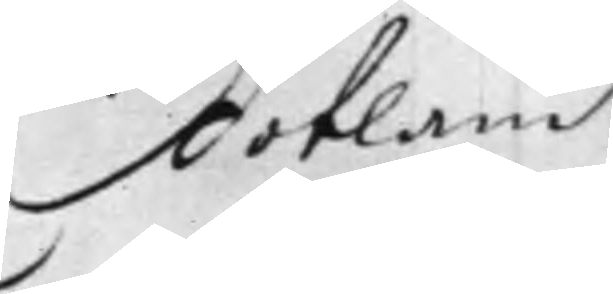Gotland
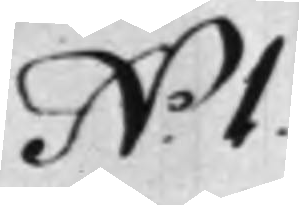N.o 1.
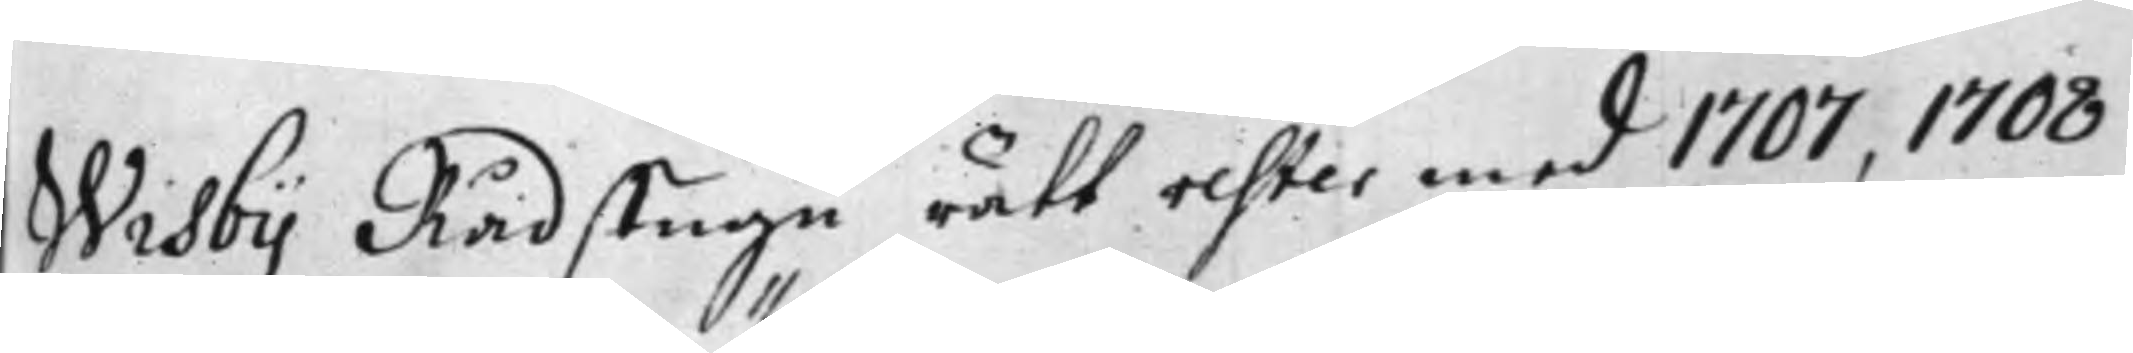Wisby Rådstugu rätt rester med 1707, 1708,
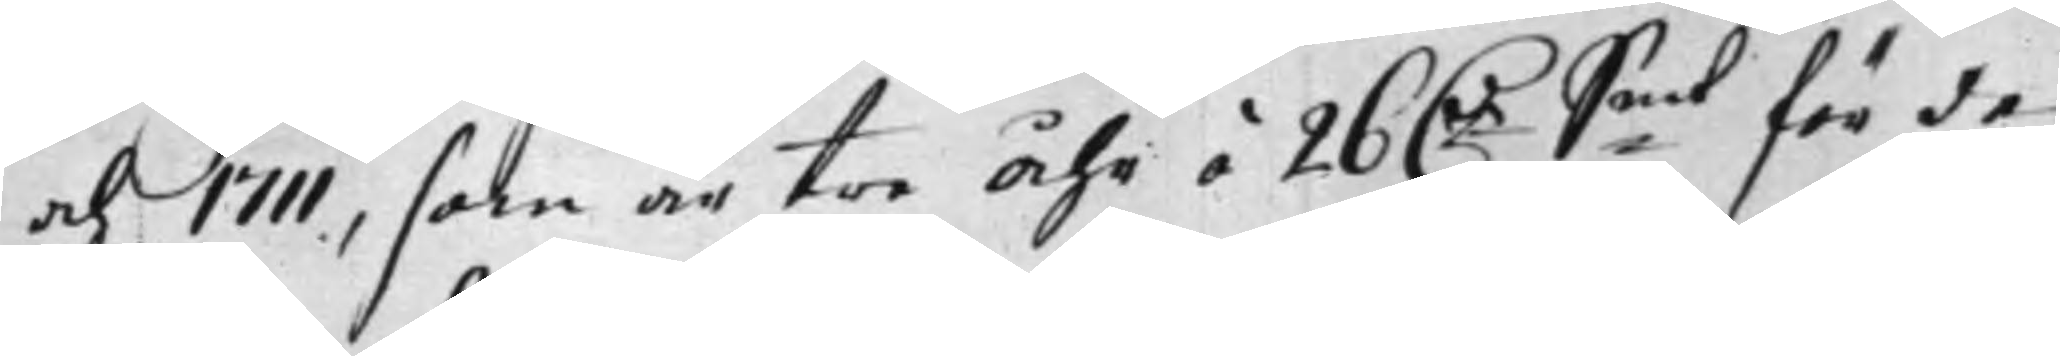och 1711, som är tre Åhr á 26 D.r S:mt för de
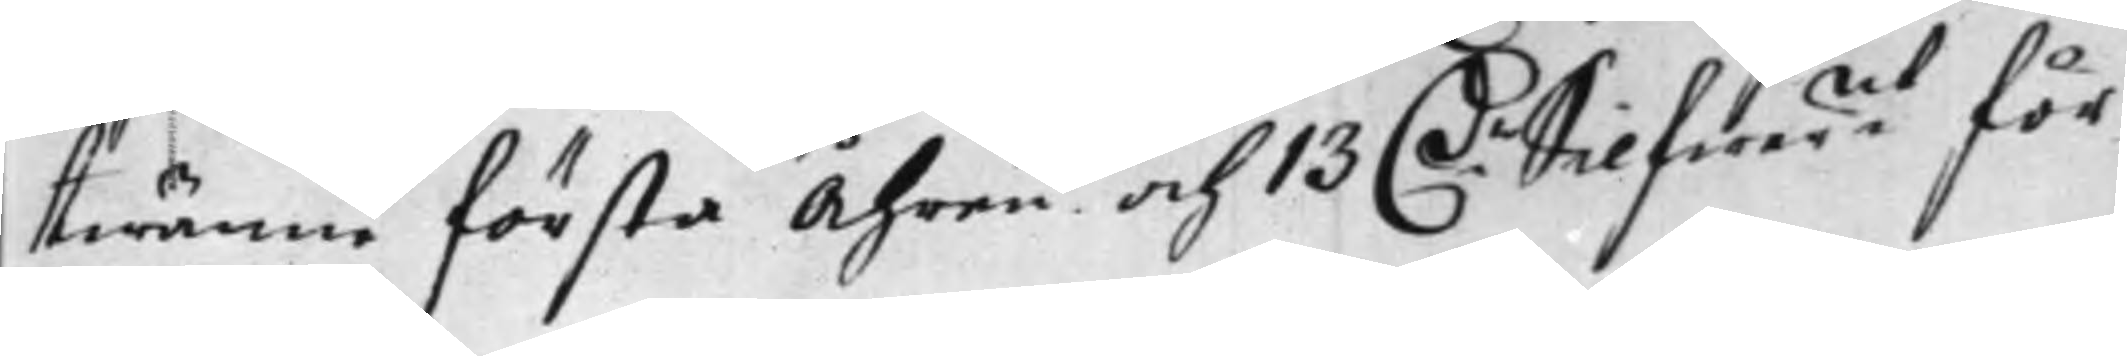twänne första Åhren och 13 D.r Silfwer:mt för
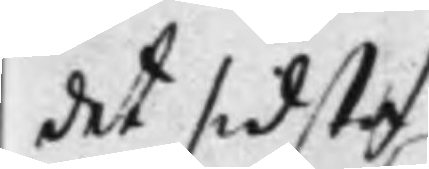det sidsta
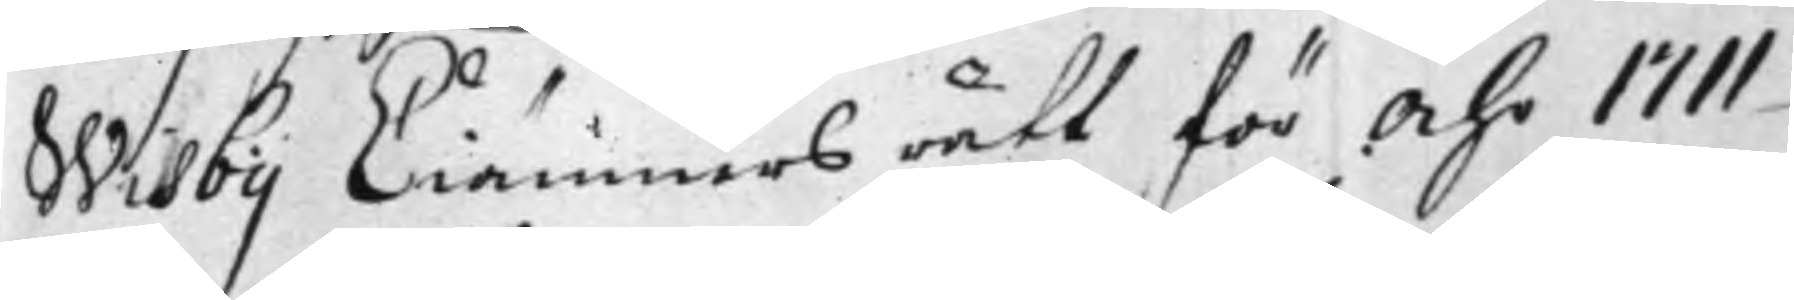Wisby Ciämners rätt för Åhr 1711
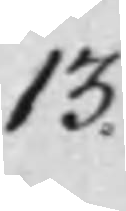13.
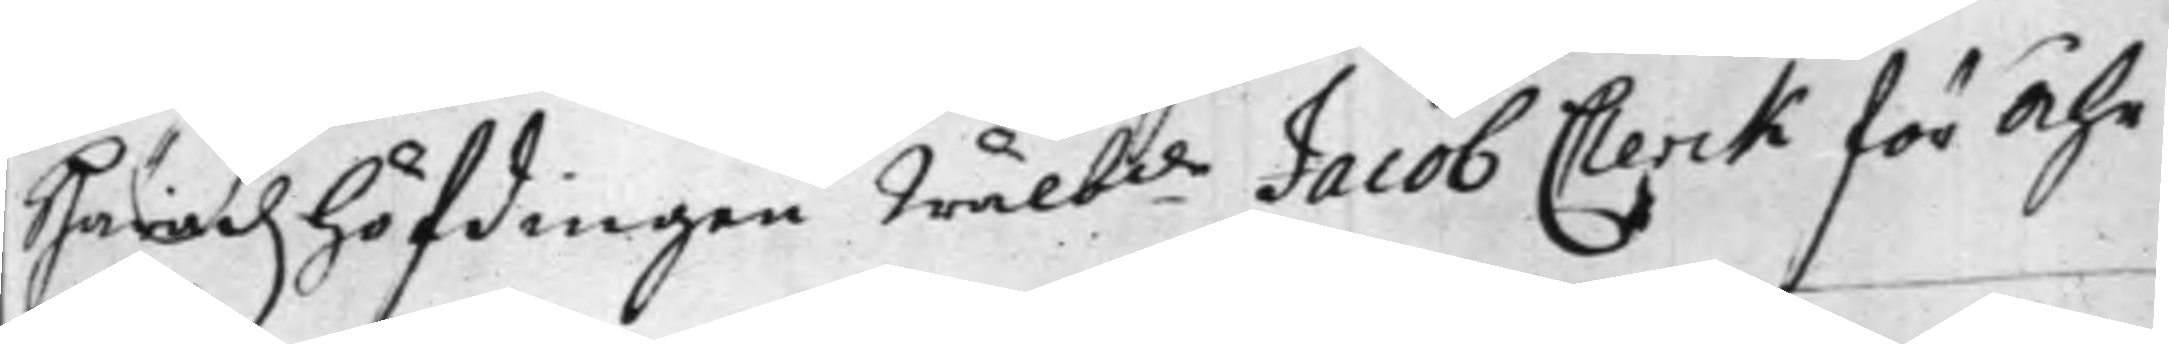Häradz höfdingen Wälb.de Jacob Clerck för Åhr
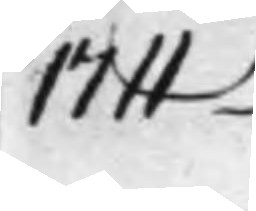1711
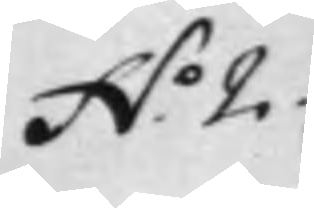N.o 2.
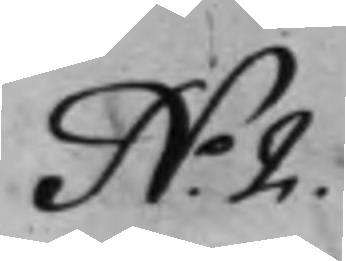N.o 2.
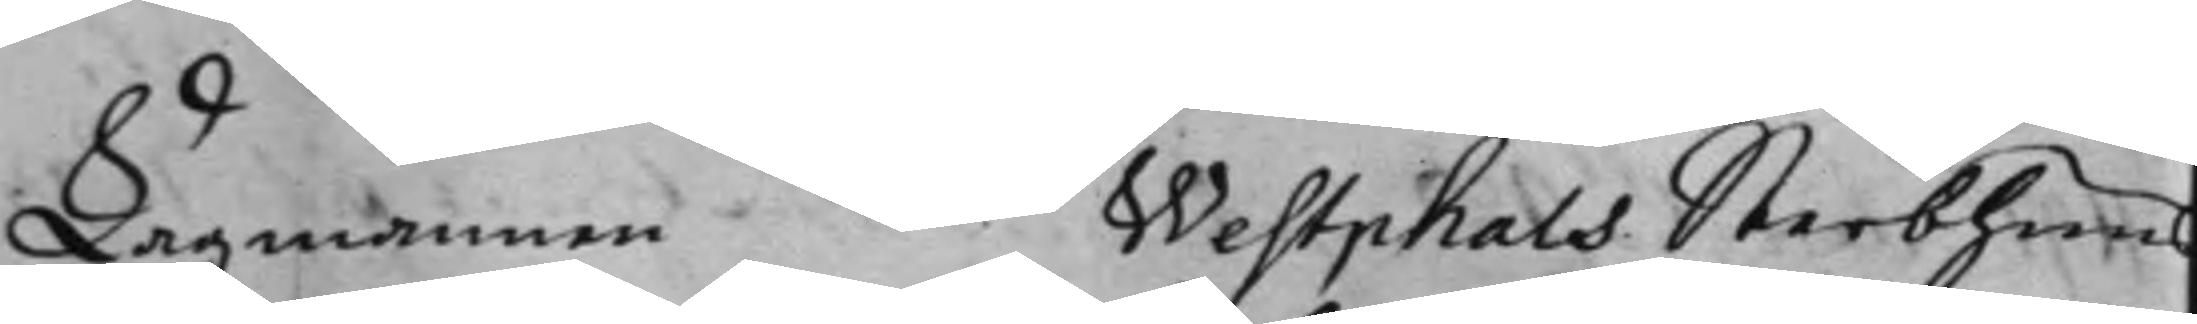Lagmannen Westphals Sterbhuus
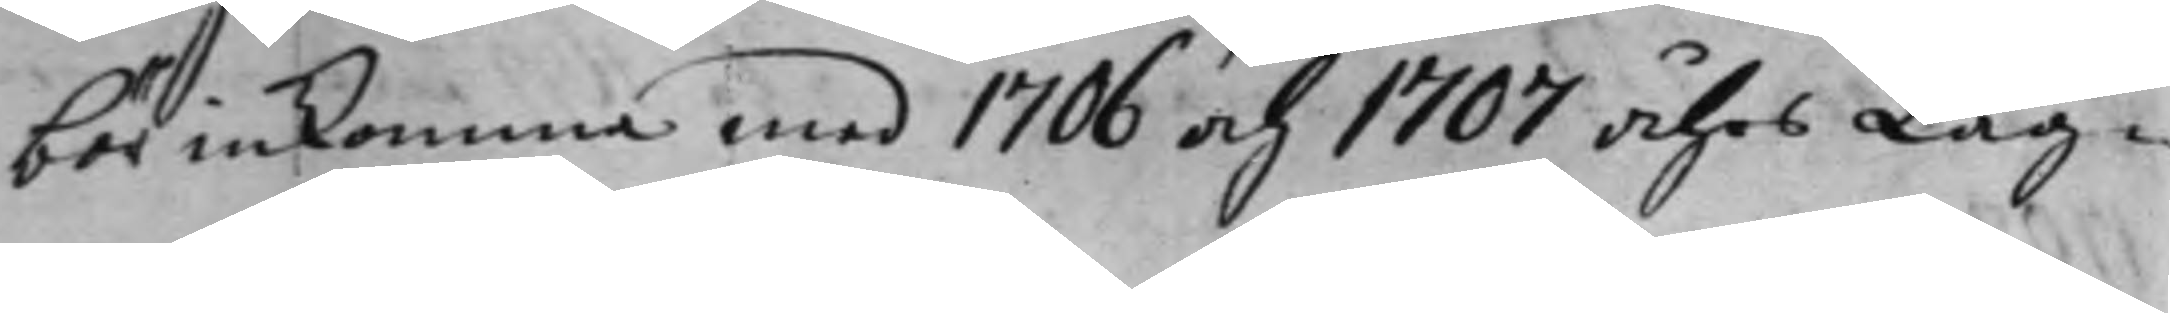bör inkomma med 1706 och 1707 åhrs Lag¬
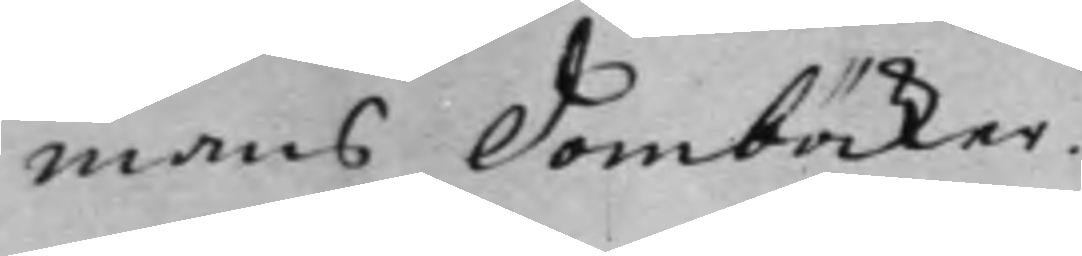mans Domböcker.
